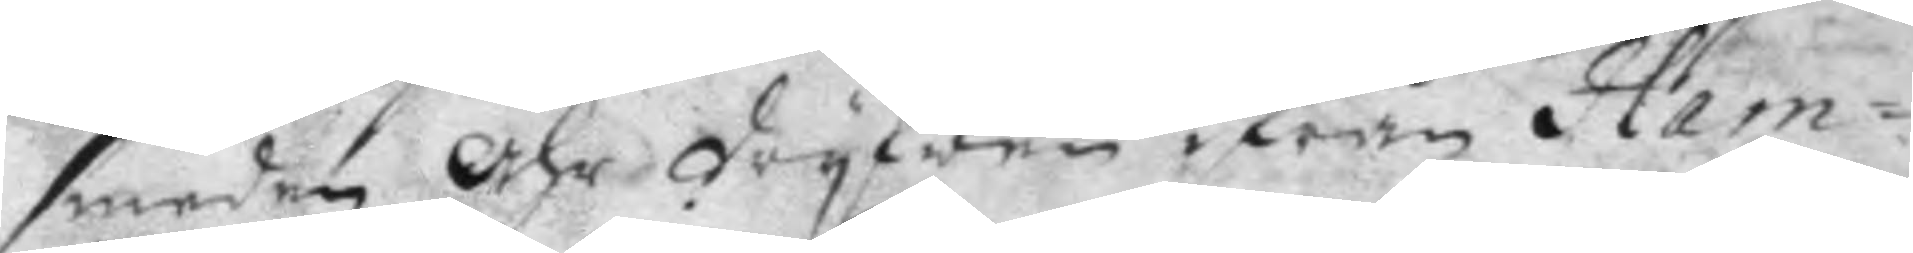smeden Ähr dryfwen ifrån Ham¬
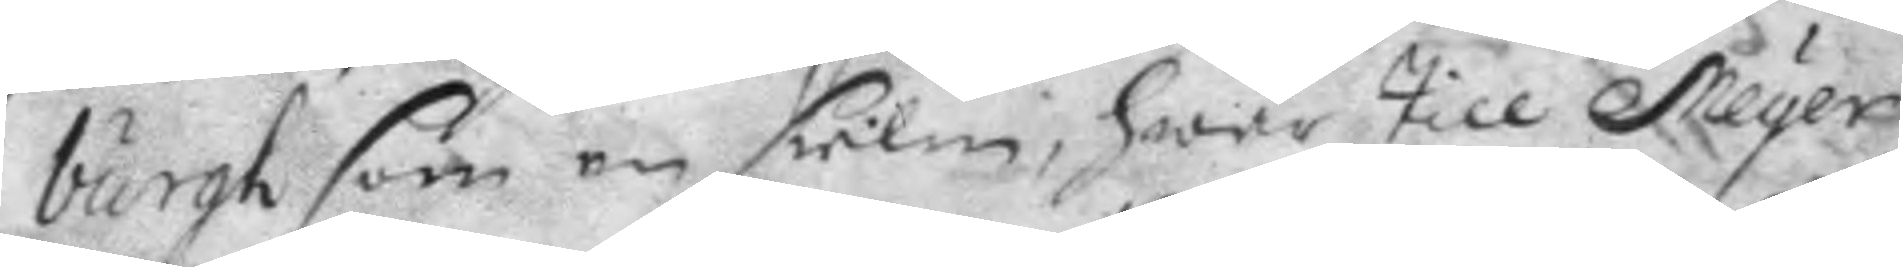burgh som en sielm, hwar till Meyer
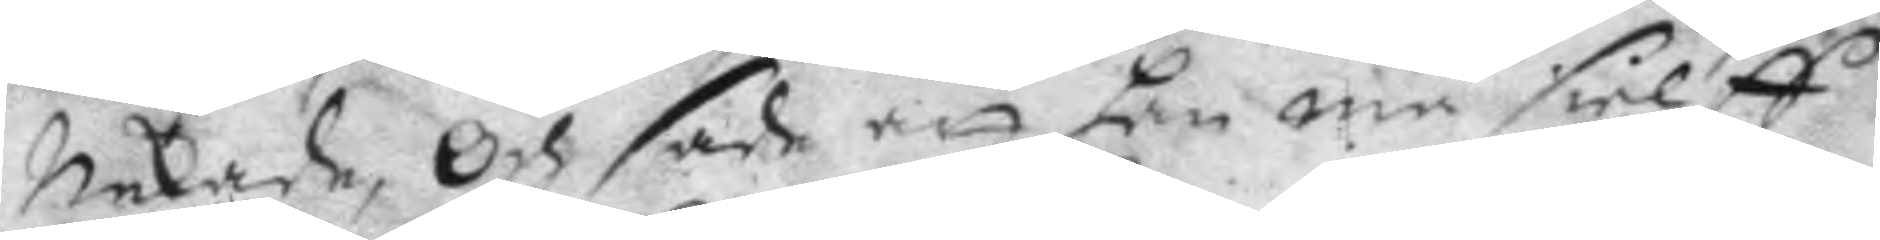nekade, Och sade att han må sielff
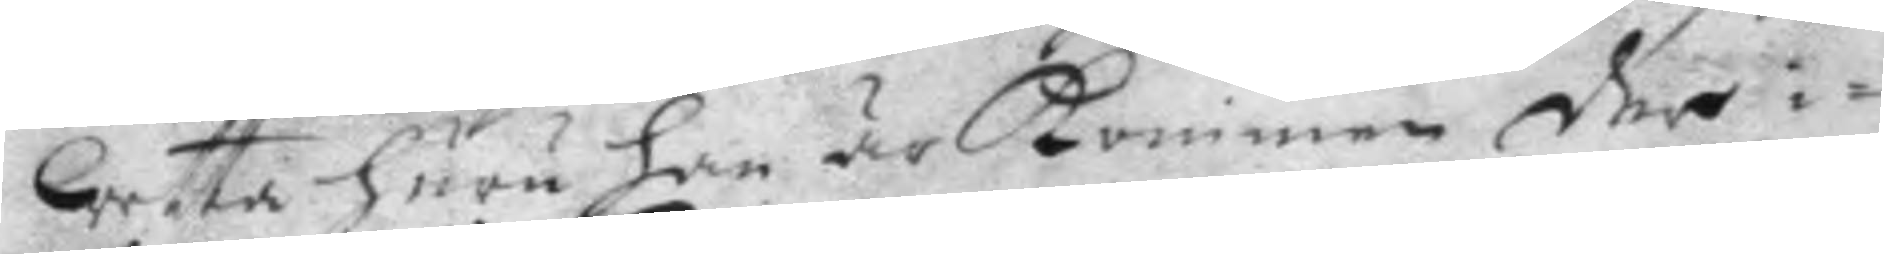wetta huru han är kommen der i¬
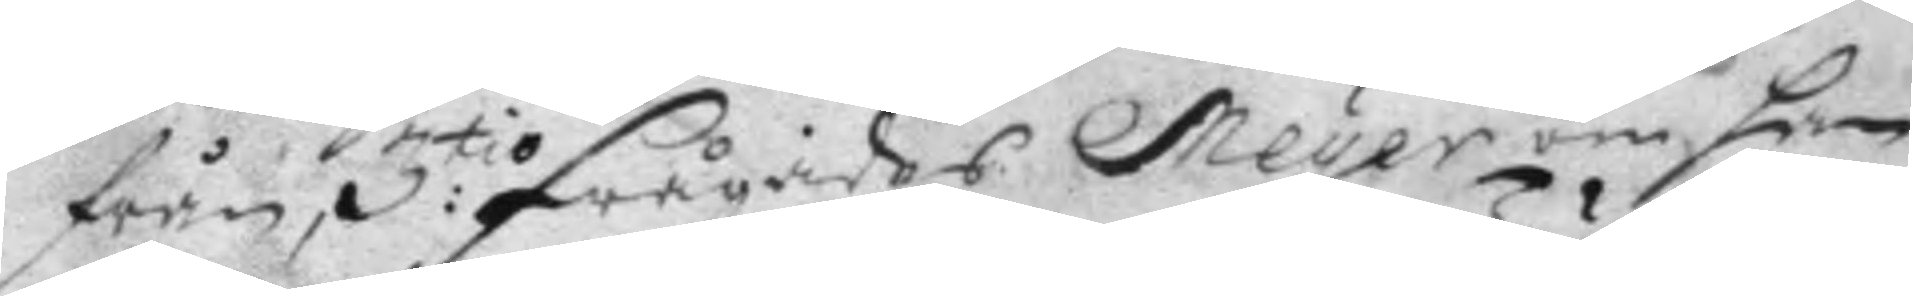från, 3:tio frågades Meyer om han
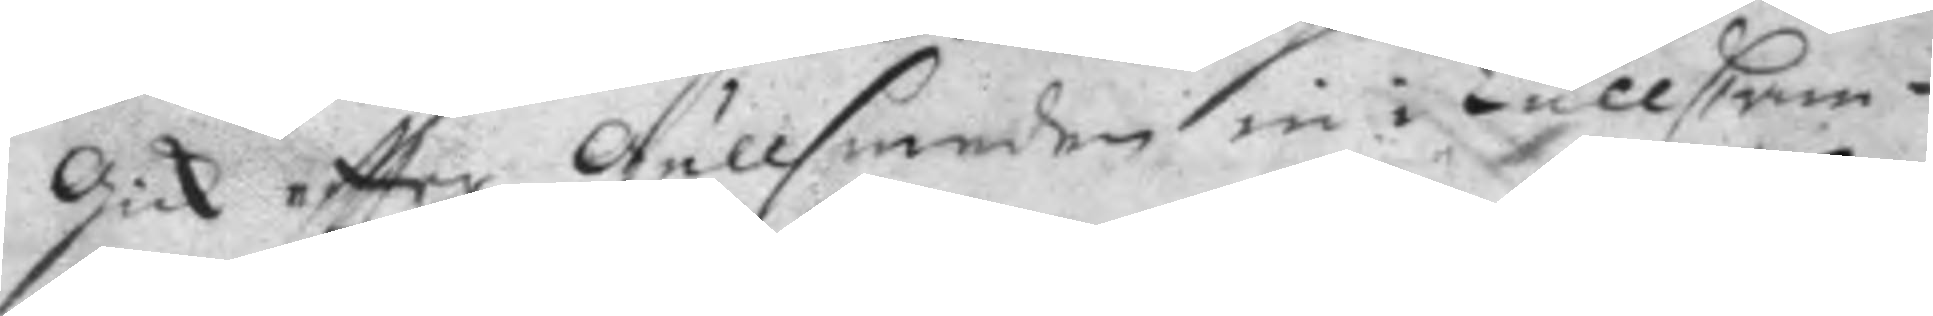gick eftter Gullsmeden in i TullCam¬
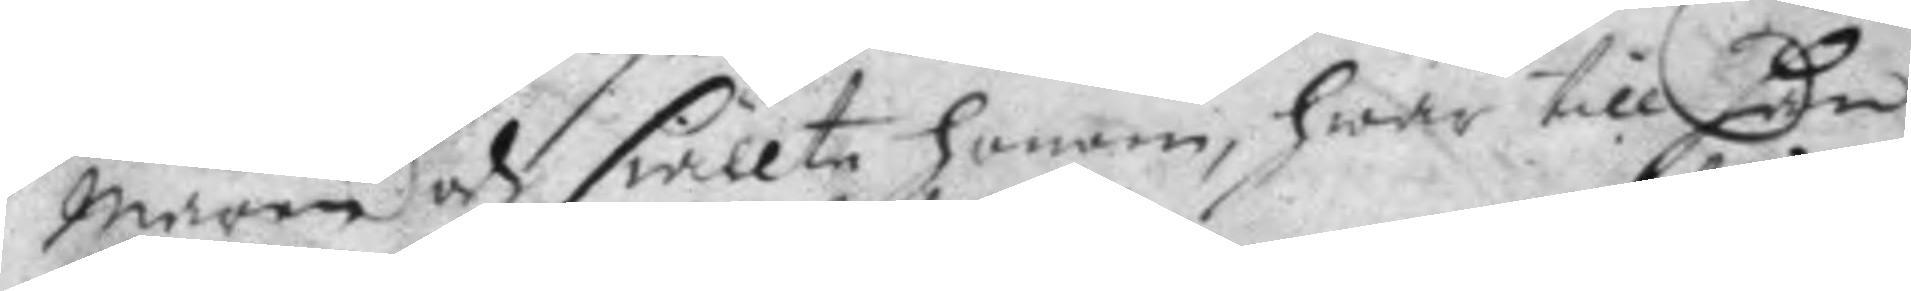maren ach siällte honom, hwar till han
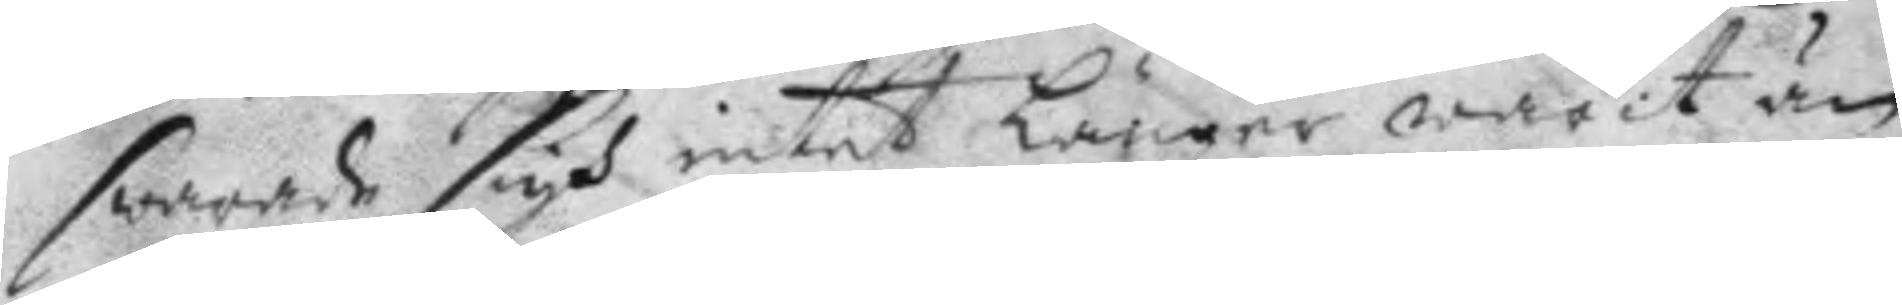swarade sigh intet Länger warit än
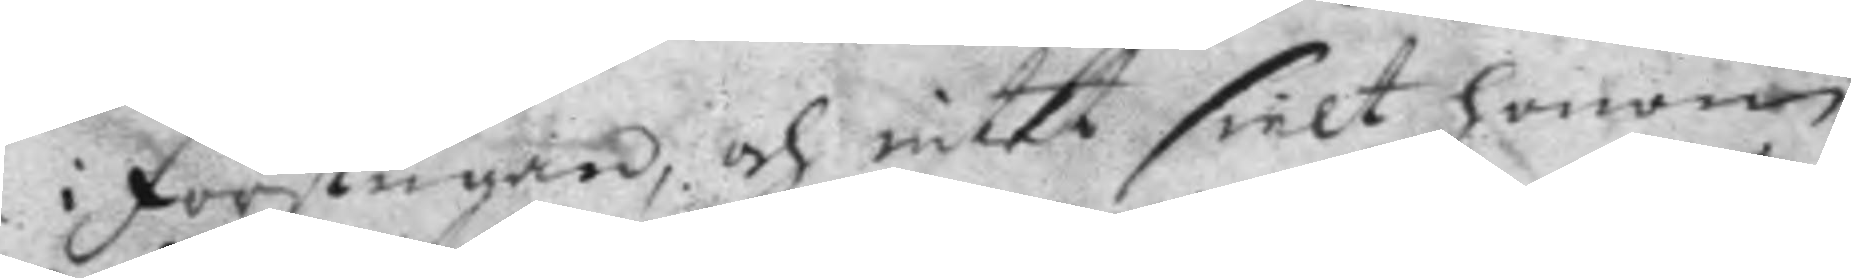i förstugan, och intet sielt honom
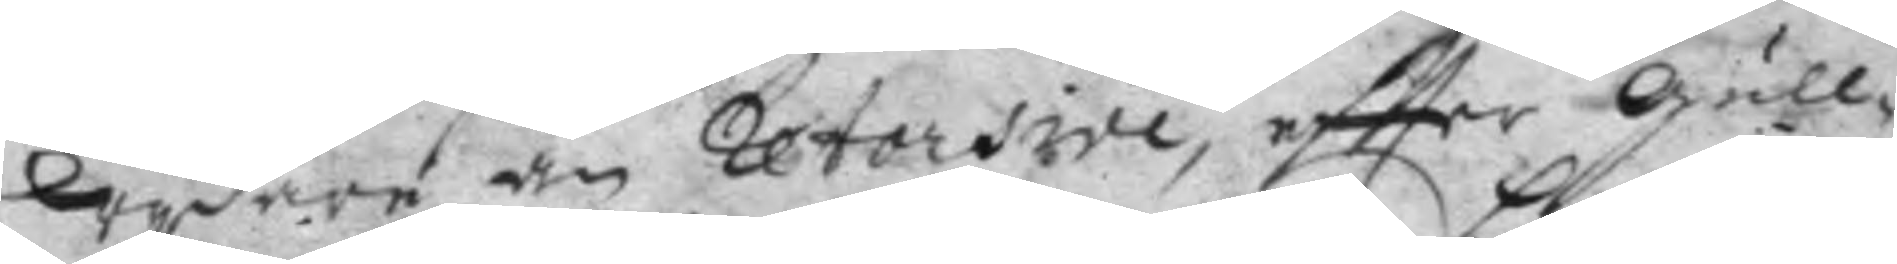Wydare än retorsive, effter Gull¬
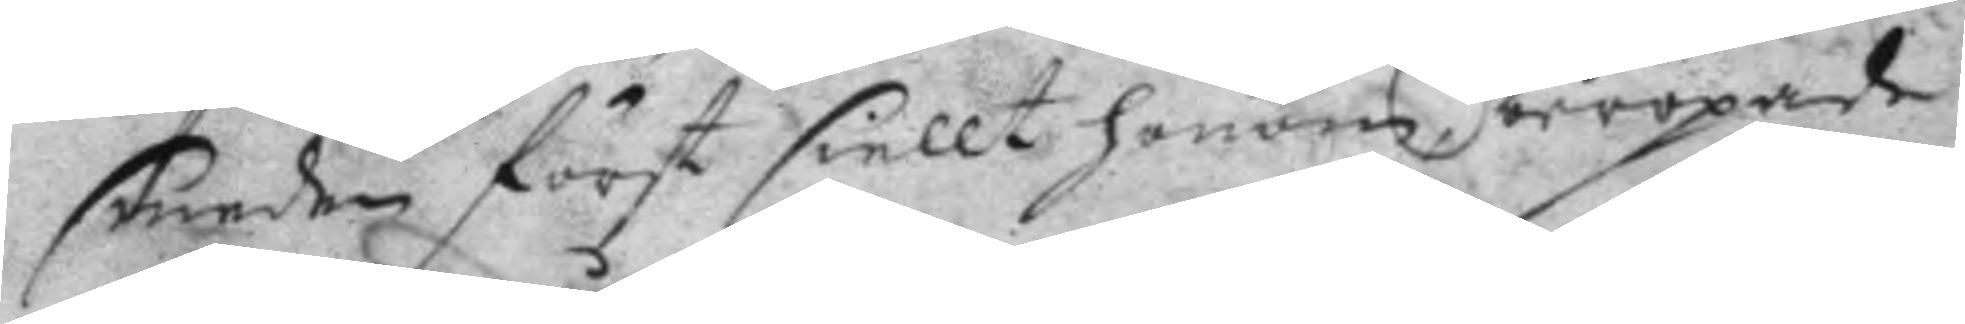smeden först siellt honom beropade
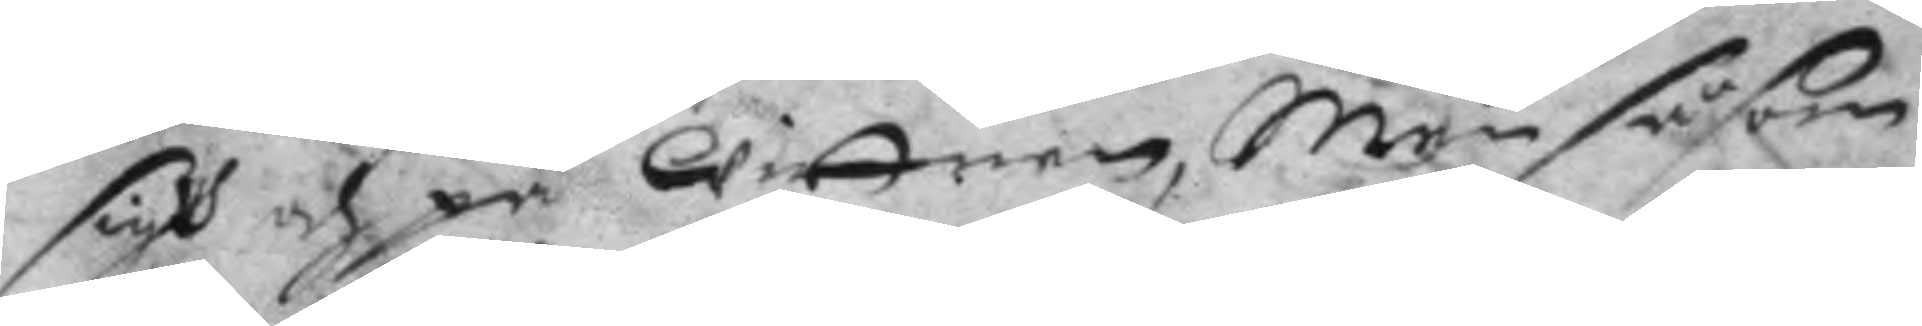sigh och på Wittnen, Men såsom
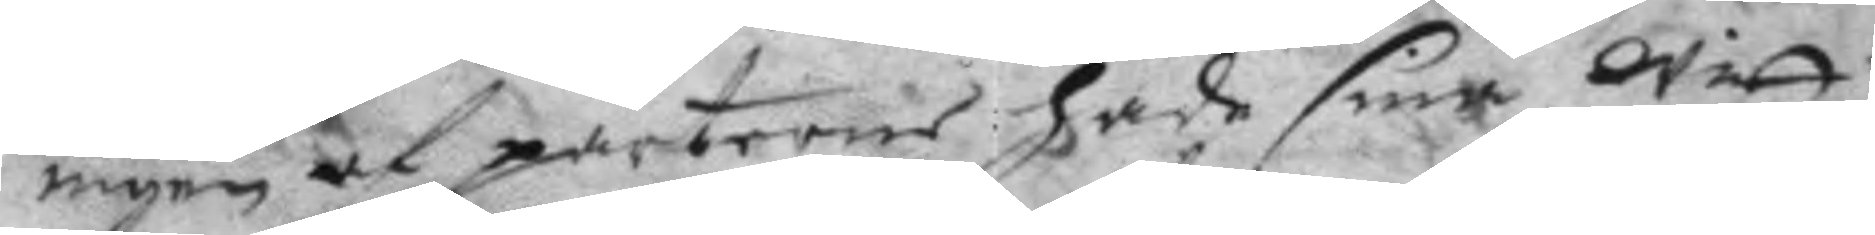ingen af parterne hade sina Witt¬
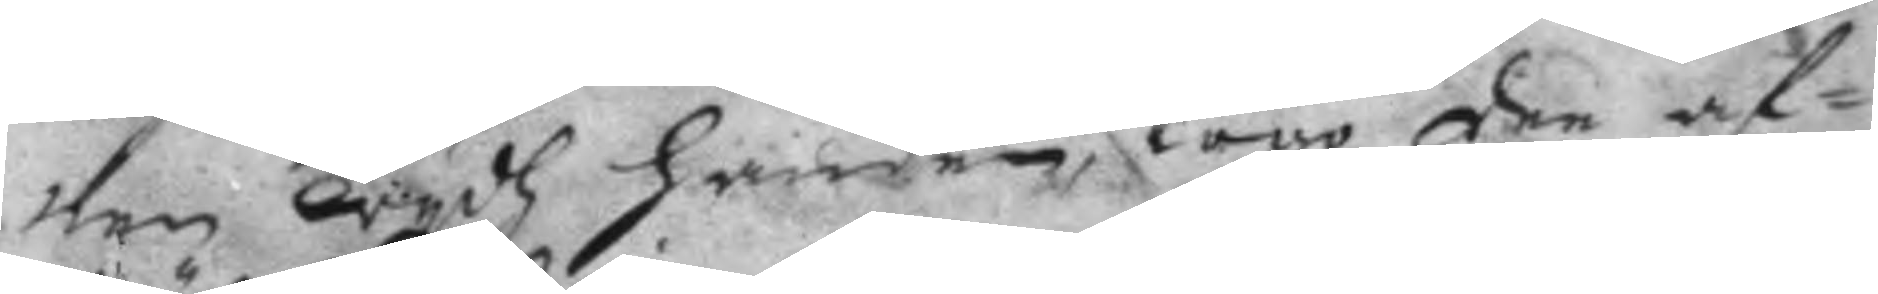nen wydh handen, togo dee af¬
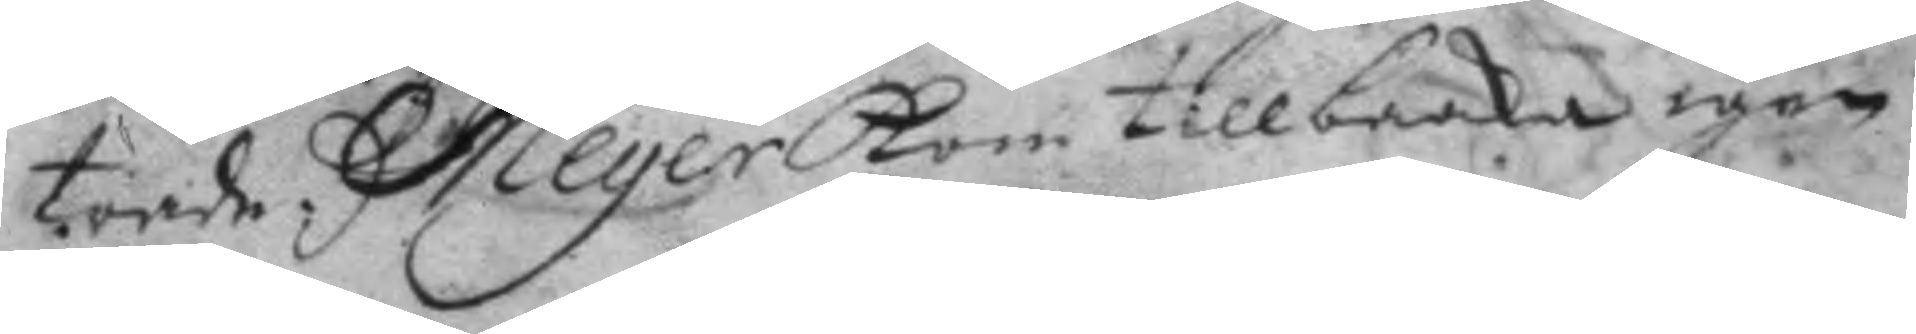träde, Meyer kom tillbaaka igen.
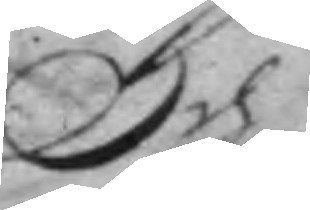Och
